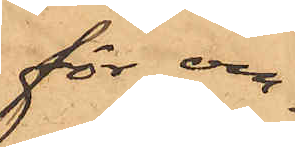för om¬
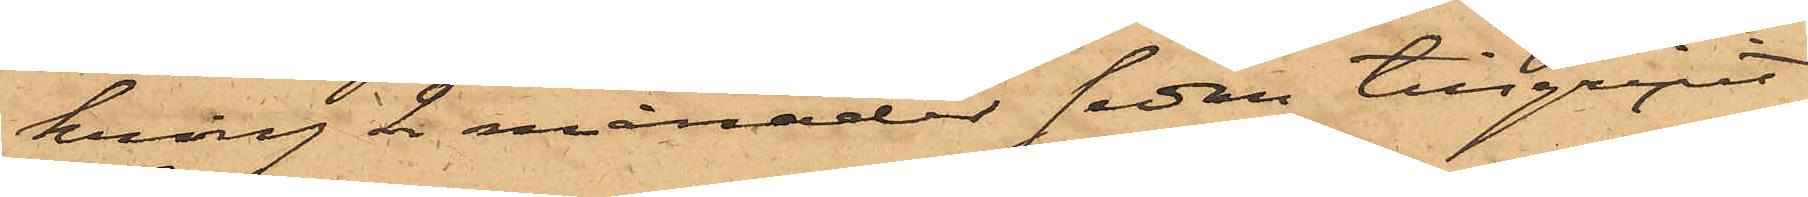kring 2 månader sedan tillgripit
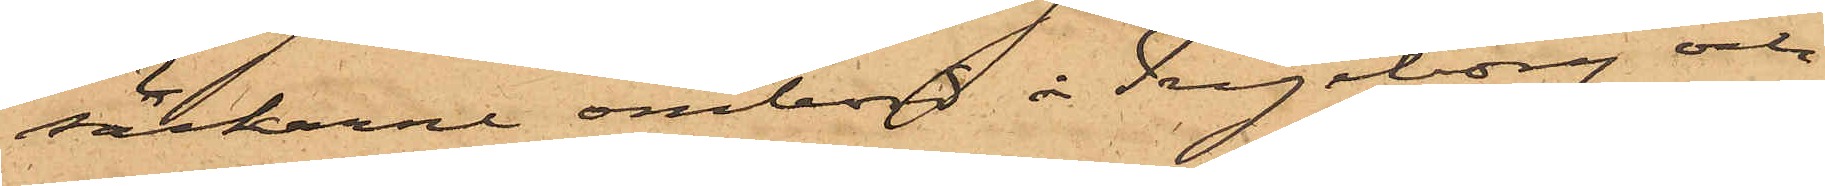säckarne ombord å Ingeborg och
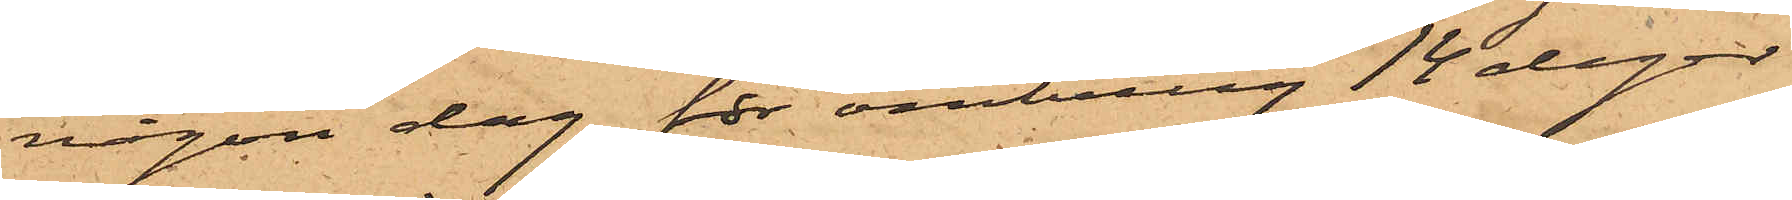någon dag för omkring 14 dagar
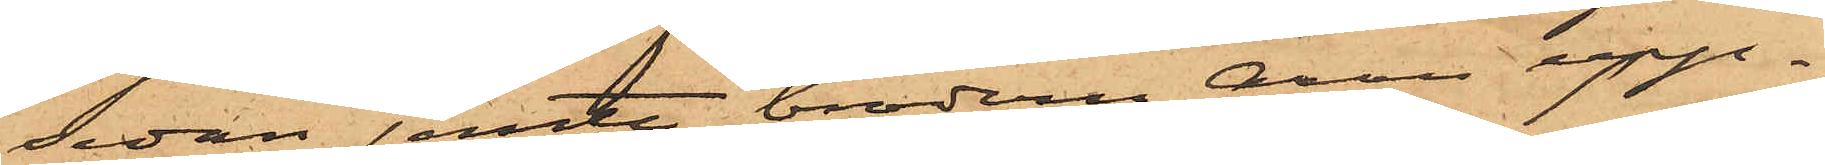sedan jemte brodern Aron upp¬
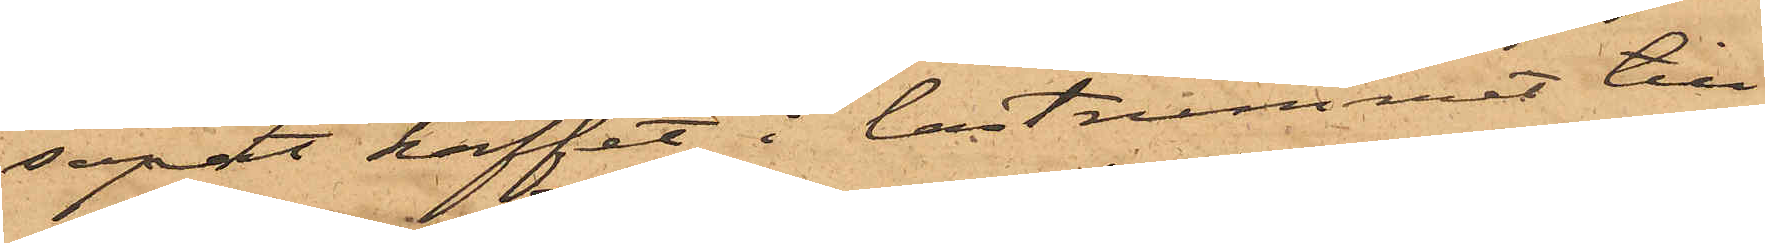sopat kaffet i lastrummet till
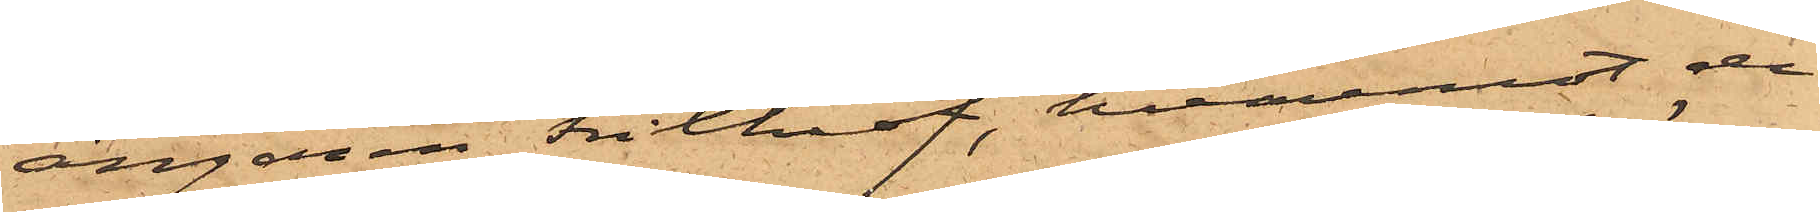ångaren Frithiof, hvaremot de
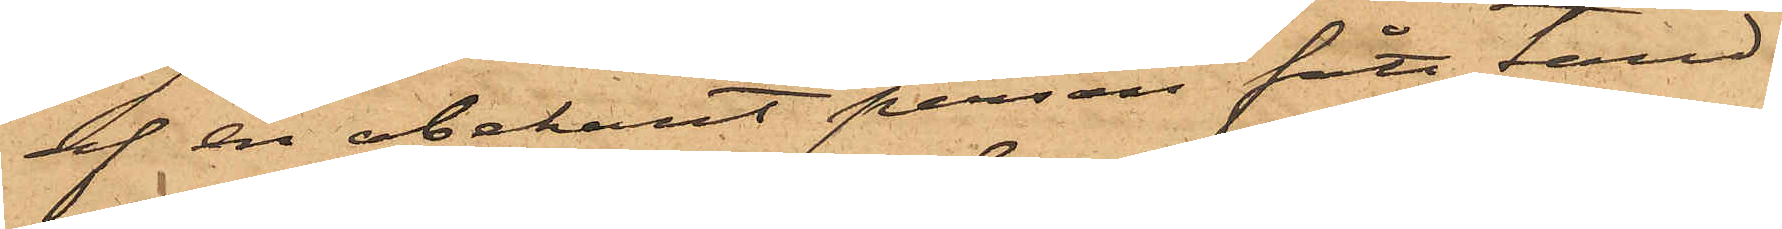af en obekant person fått tänd¬
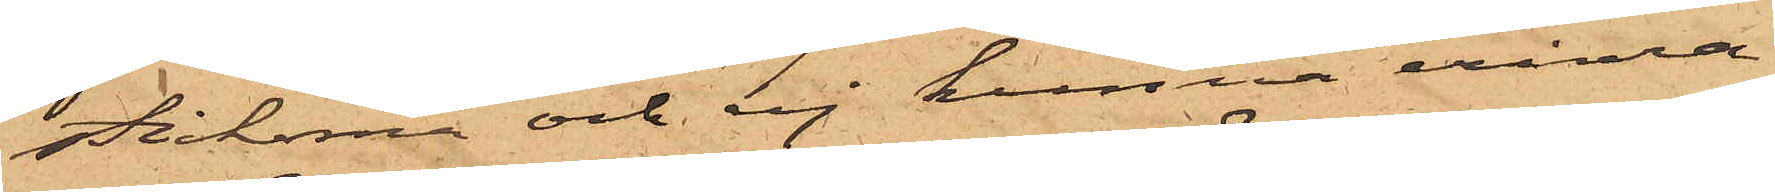stickorna och ej kunna erinra
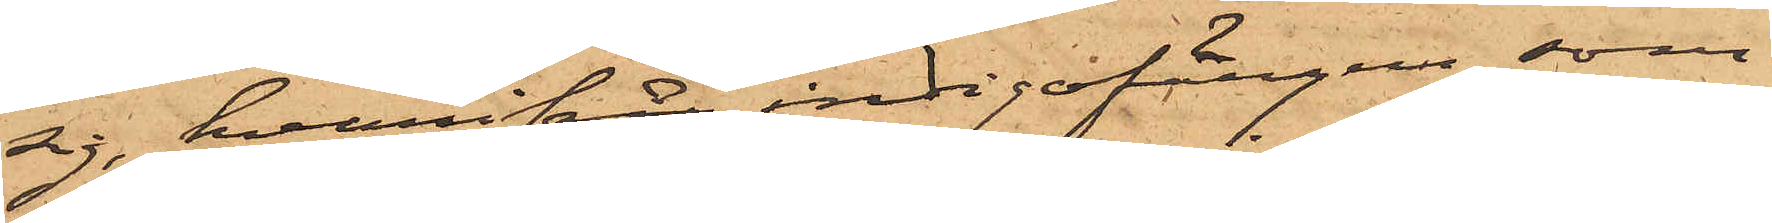sig, hvarifrån indigofärgen, som
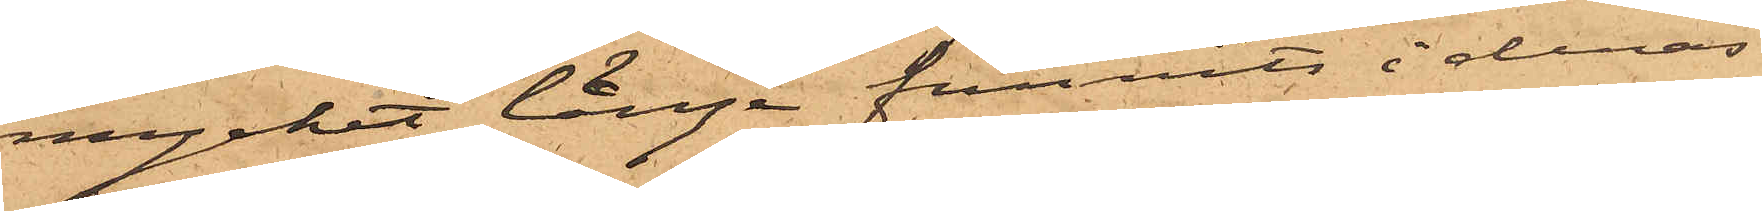mycket länge funnits i deras
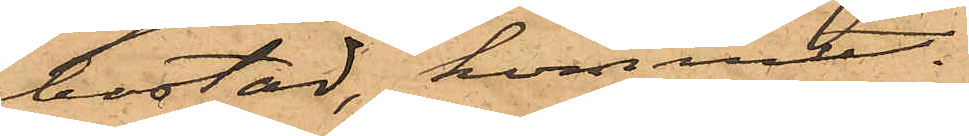bostad, kommer.
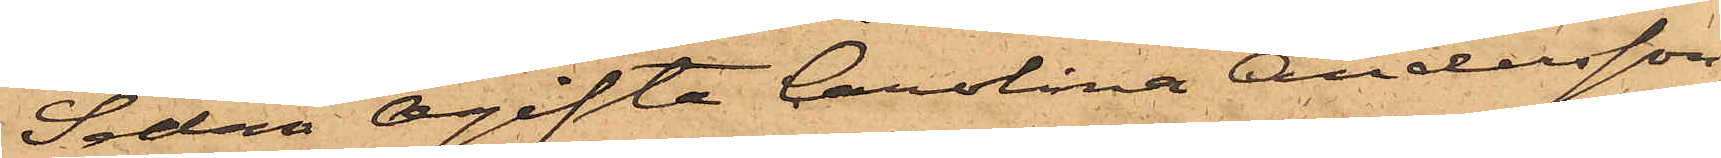Sedan Ogifta Carolina Andersson,
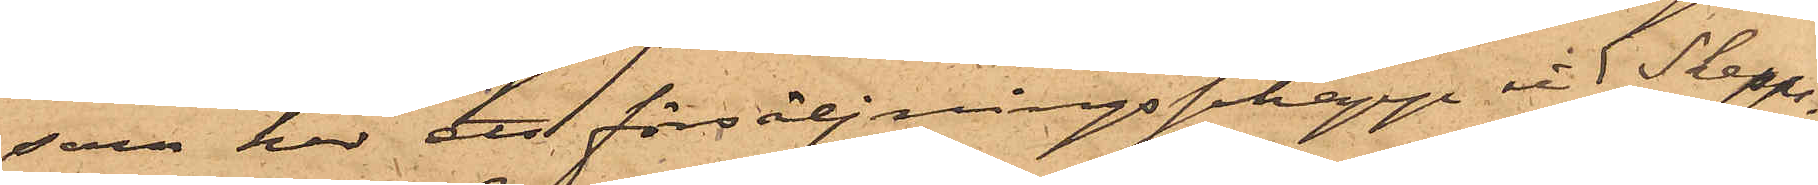som har ett försäljningsschapp vid Skepps¬
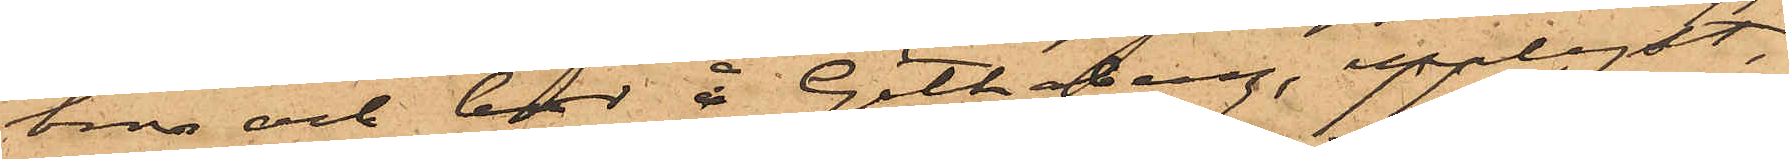bron och bor å Göthaberg, upplyst,
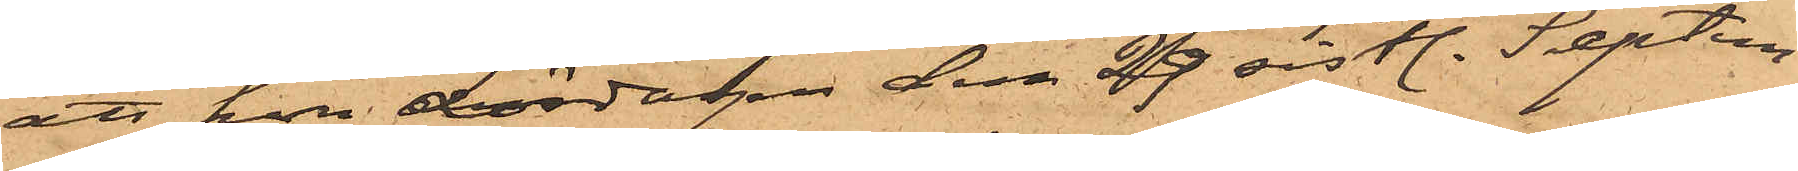att hon Lördagen den 29 sistl. Septem¬
